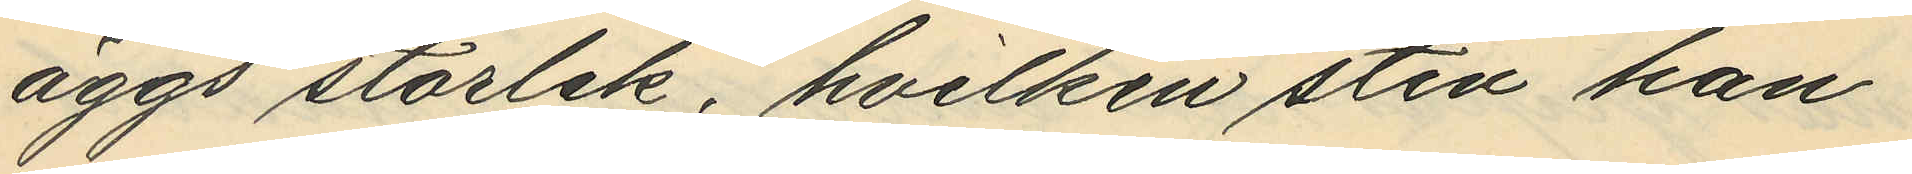äggs storlek, hvilken sten han
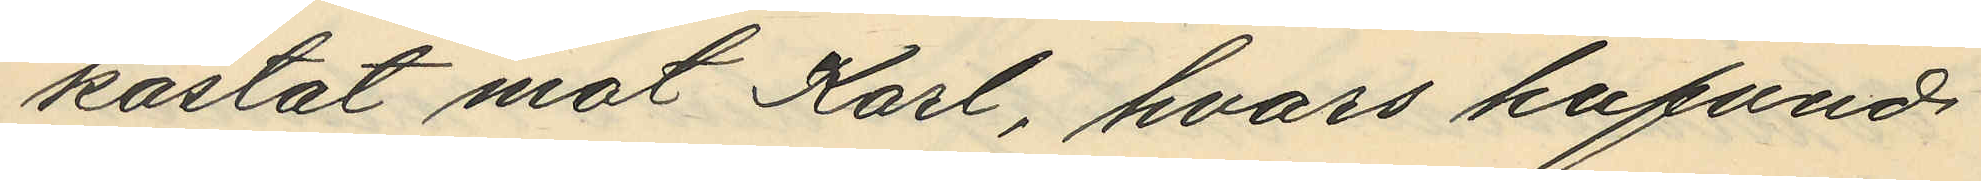kastat mot Karl, hvars hufvud
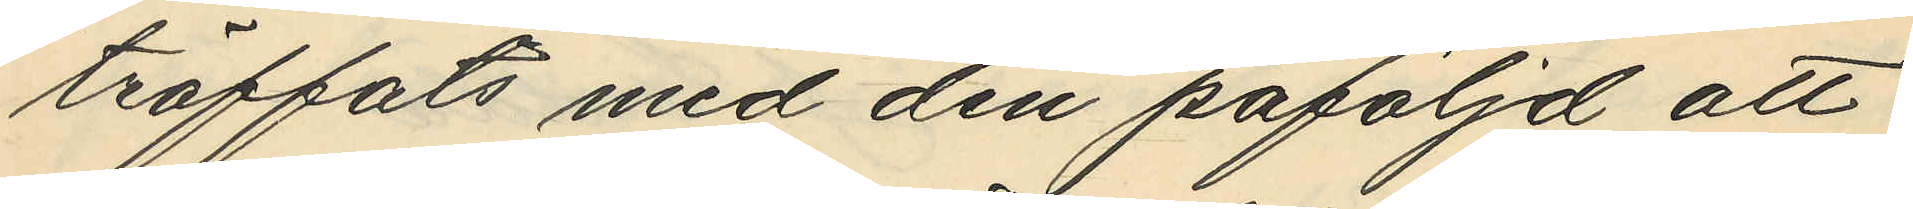träffats med den påföljd att
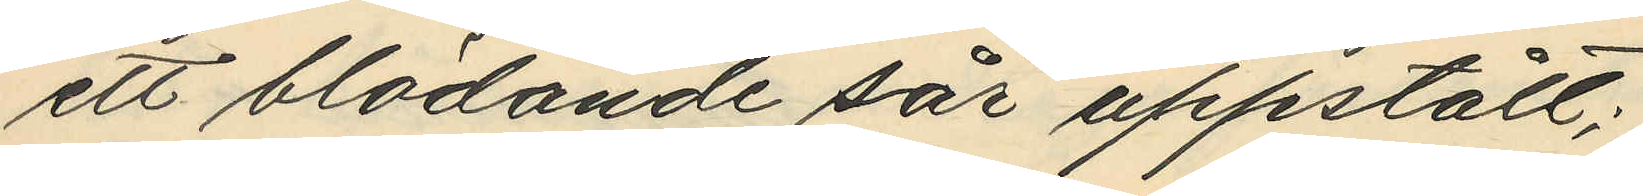ett blödande sår uppstått;
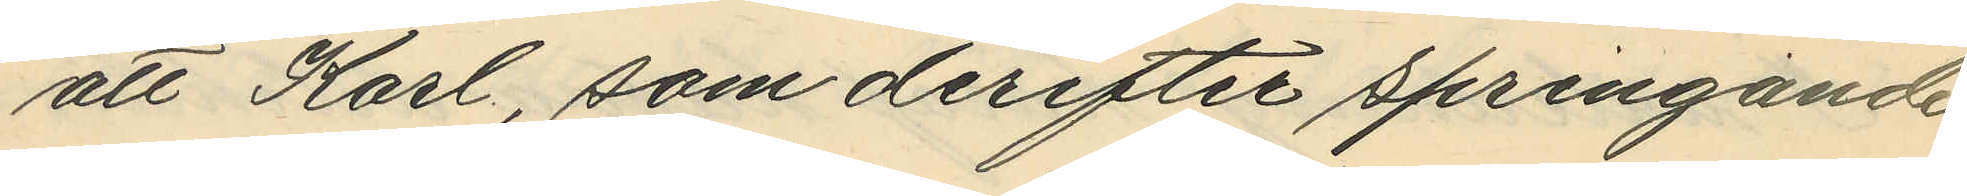att Karl, som derefter springande
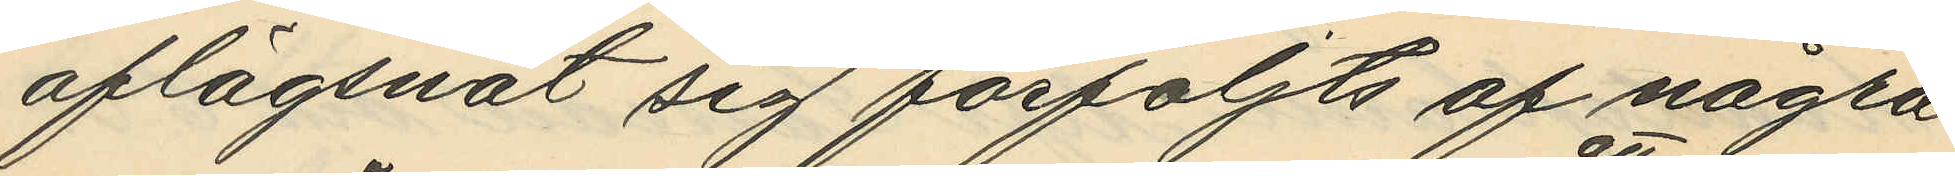aflägsnat sig förföljts af några
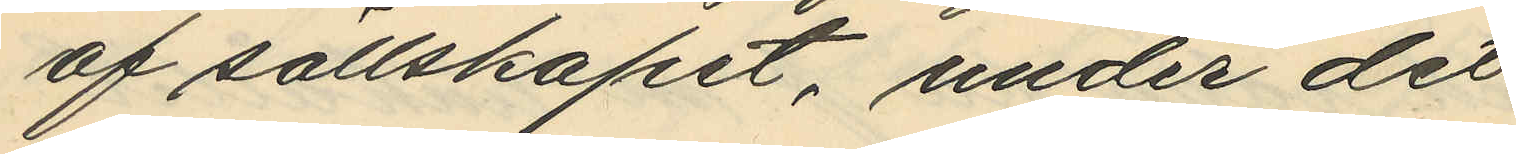af sällskapet, under det
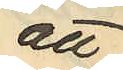att
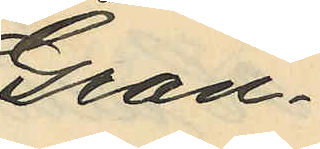Gran¬
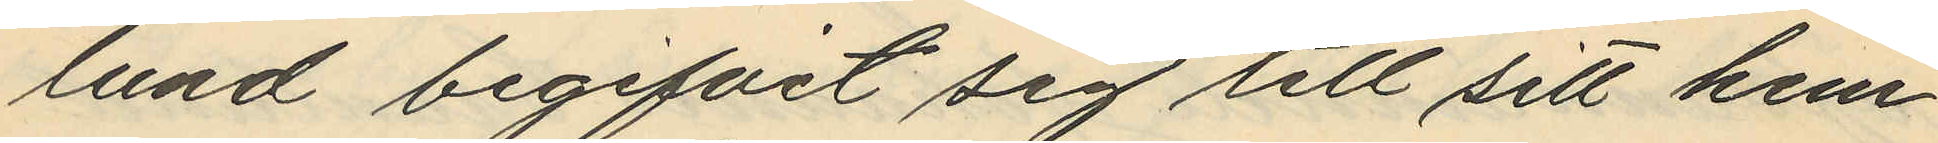lund begifvit sig till sitt hem
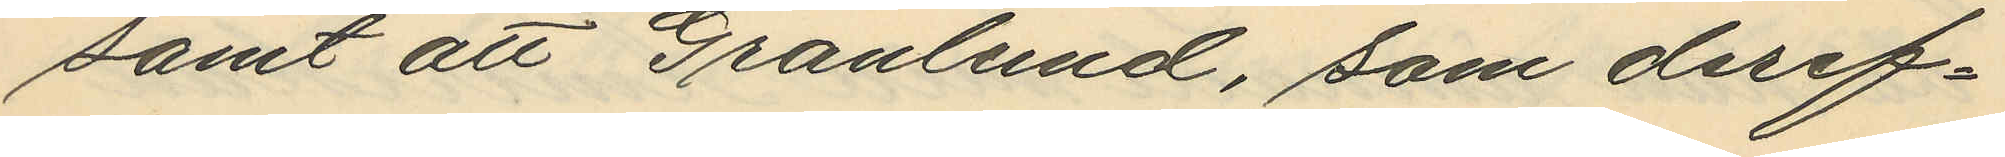samt att Granlund, som deref¬
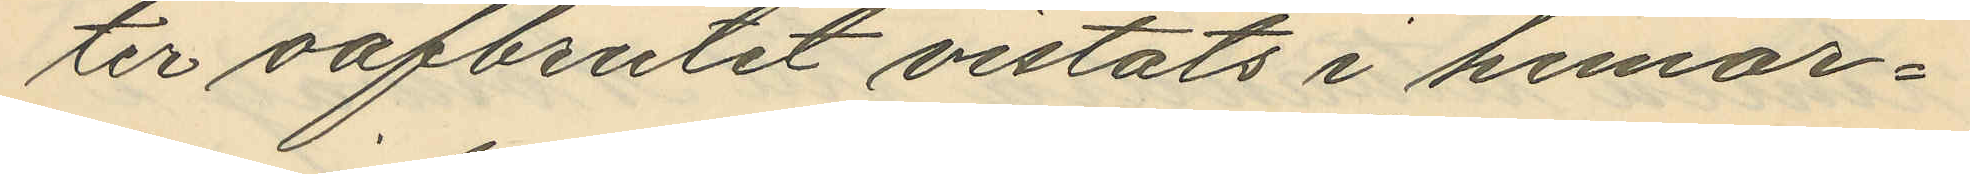ter oafbrutet vistats i hemor¬
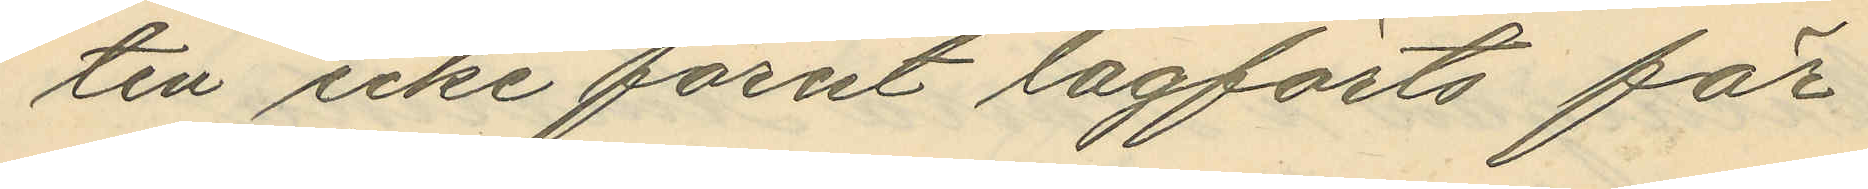ten icke förut lagförts för
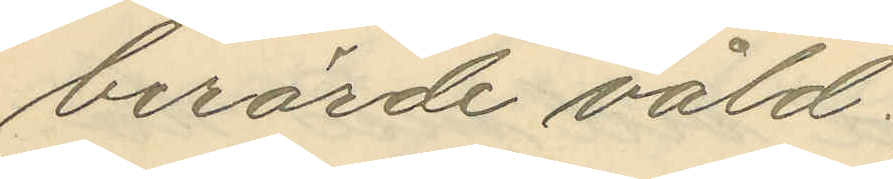berörde våld;
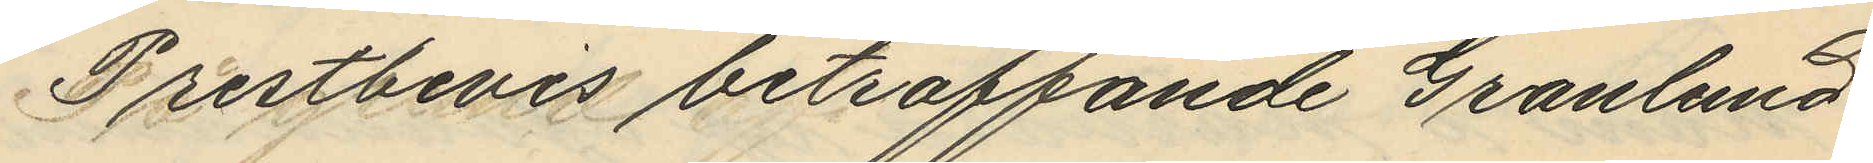Prestbevis beträffande Granlund
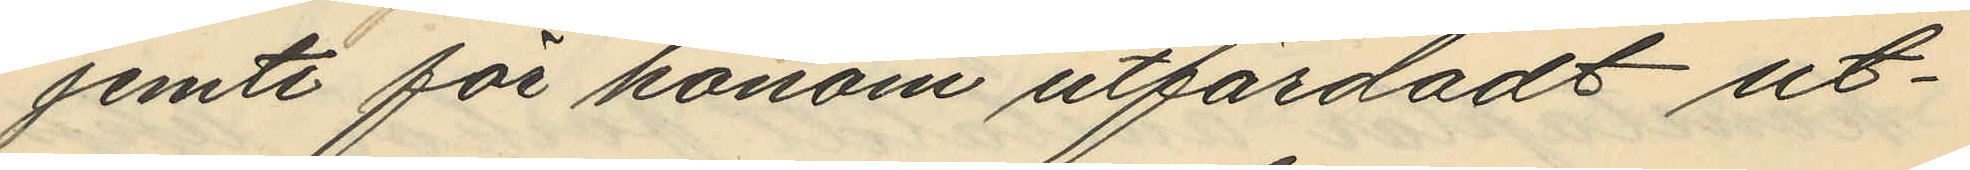jemte för honom utfärdadt ut¬
